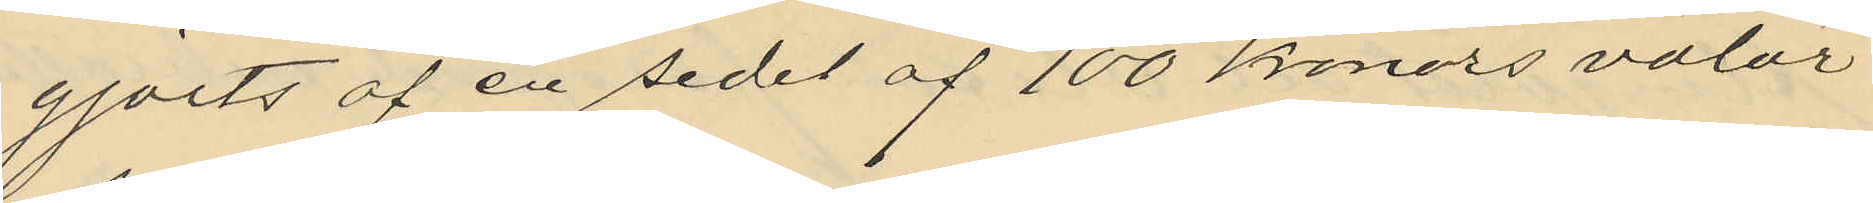gjorts af en sedel af 100 kronors valör
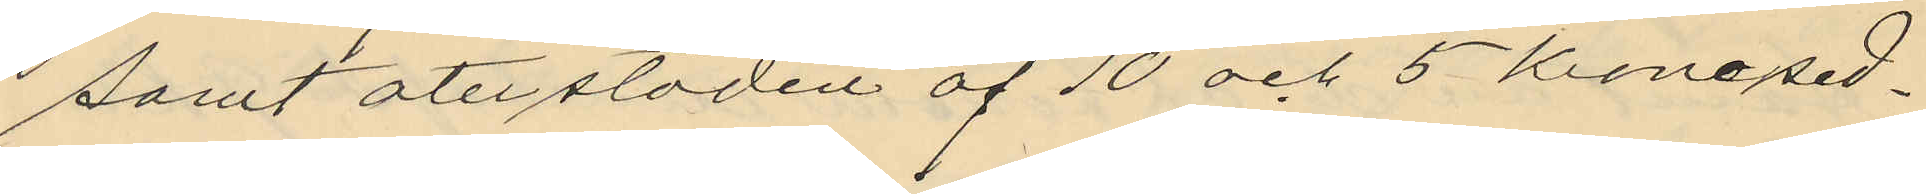samt återstoden af 10 och 5 Kronosed¬
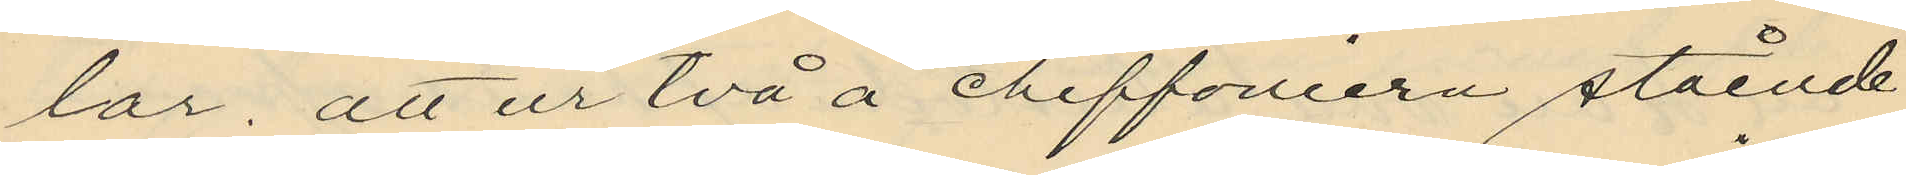lar, att ur två å chiffoniern stående
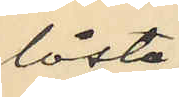låsta
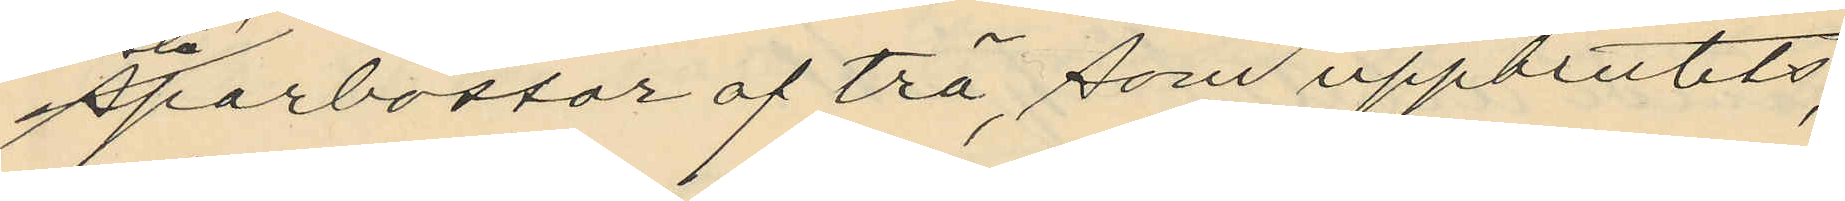sparbössor af trä som uppbrutits,
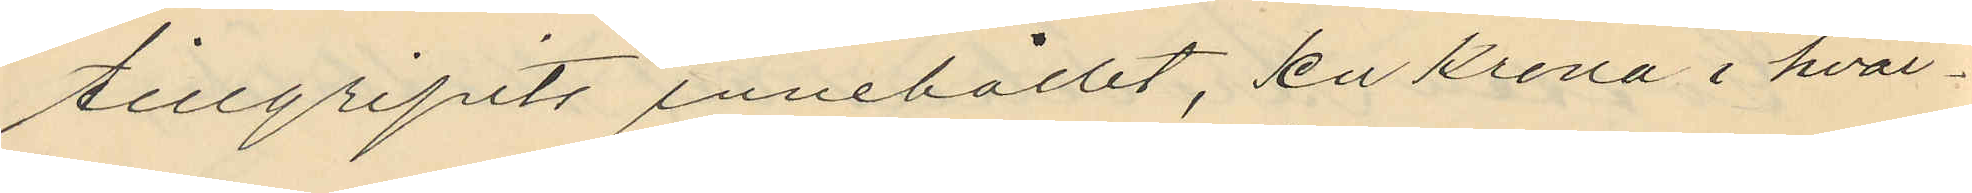tillgripits innehållet, en krona i hvar¬
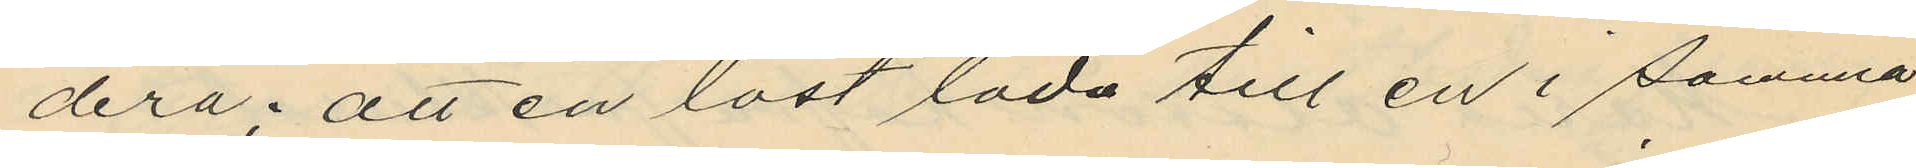dera; att en låst låda till en i samma
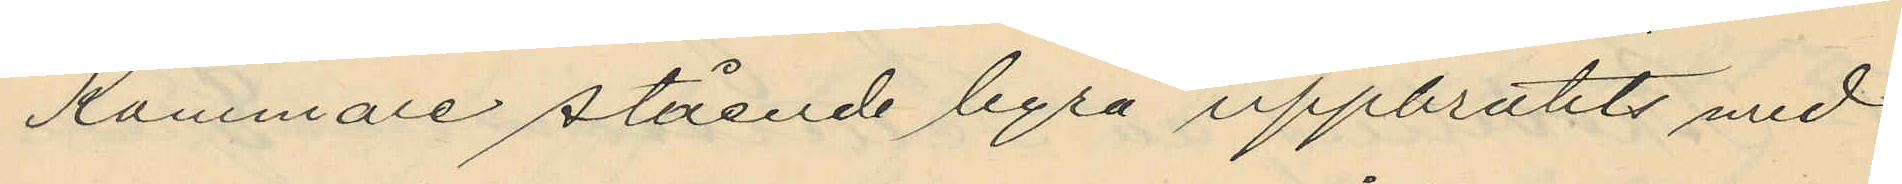kammare stående byrå uppbrutits med
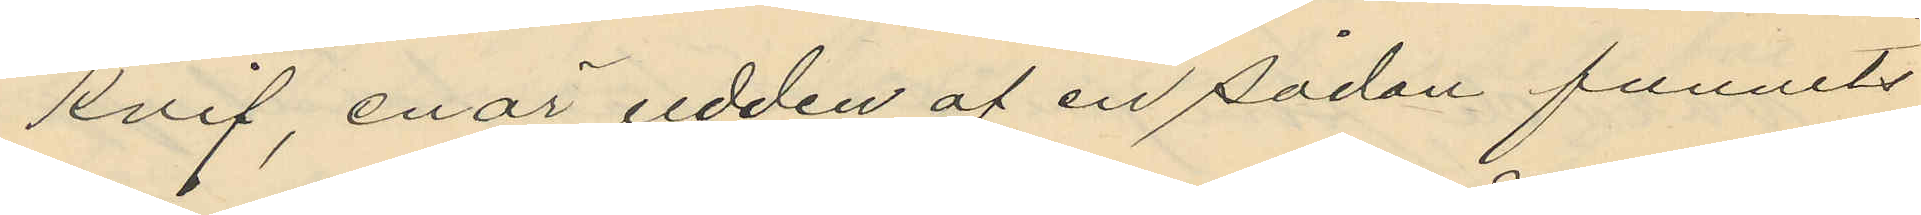knif, enär udden af en sådan funnits
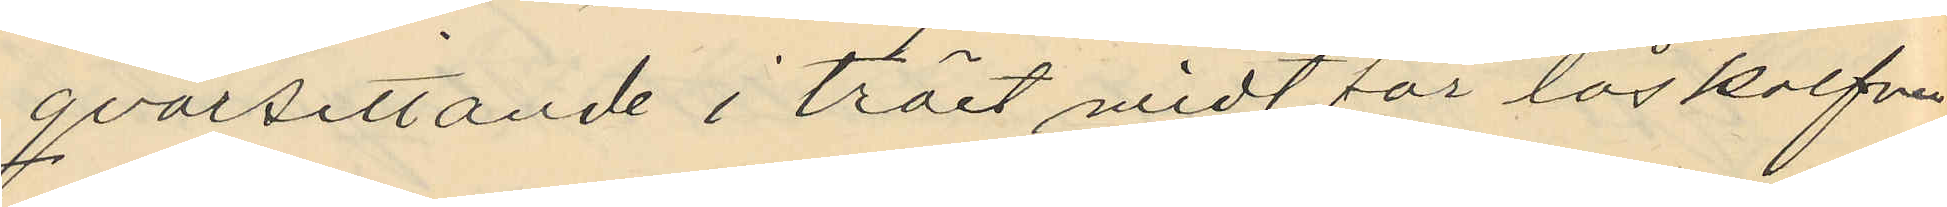qvarsittande i träet midt för låskolfven
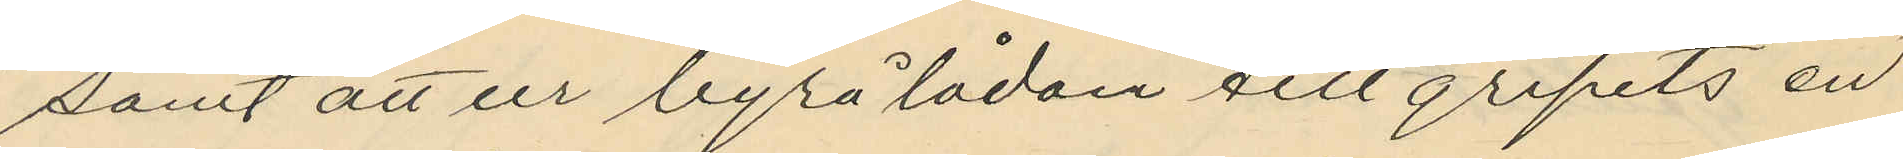samt att ur byrålådan tillgripits en
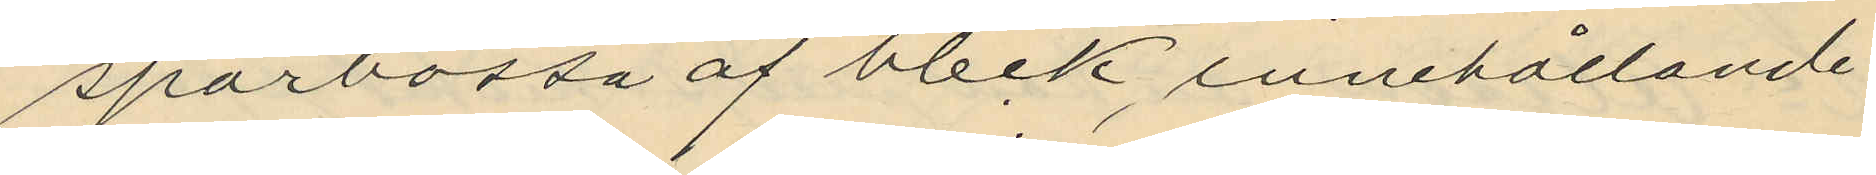sparbössa af bleck, innehållande
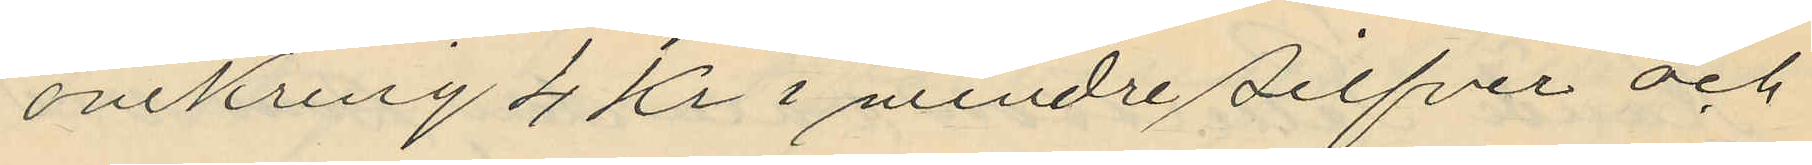omkring 4 Kr i mindre silfver och
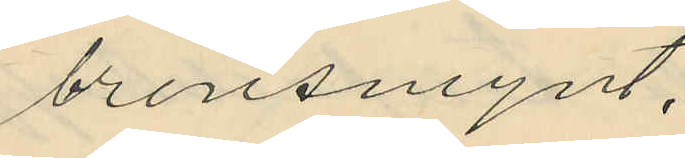bronsmynt.
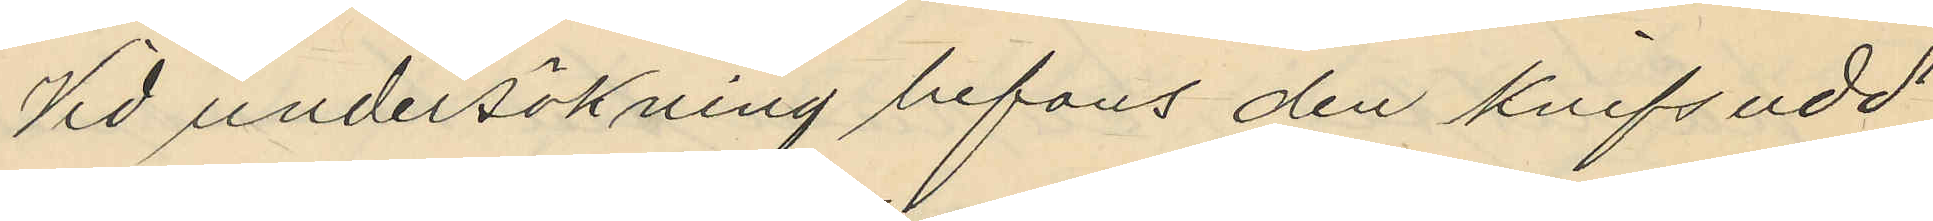Vid undersökning befans den knifsudd
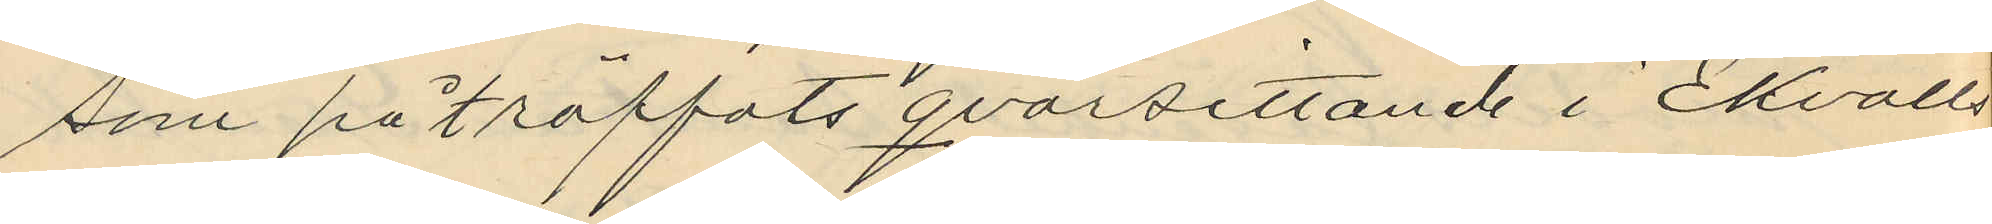som påträffats qvarsittande i Ekvalls
